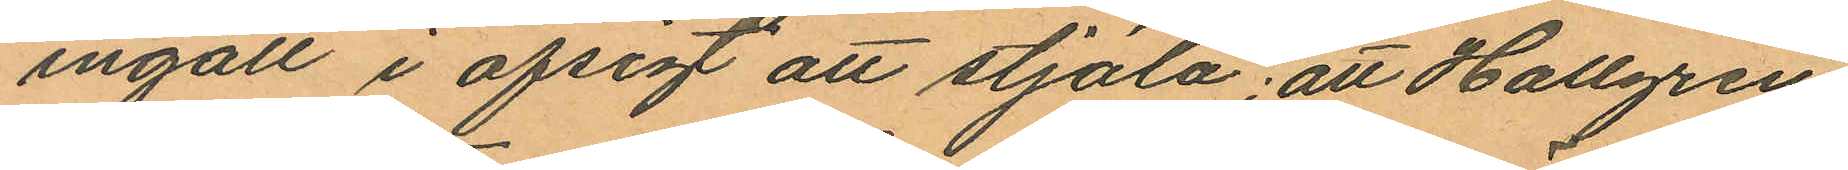ingått i afsigt att stjäla; att Hallgren,
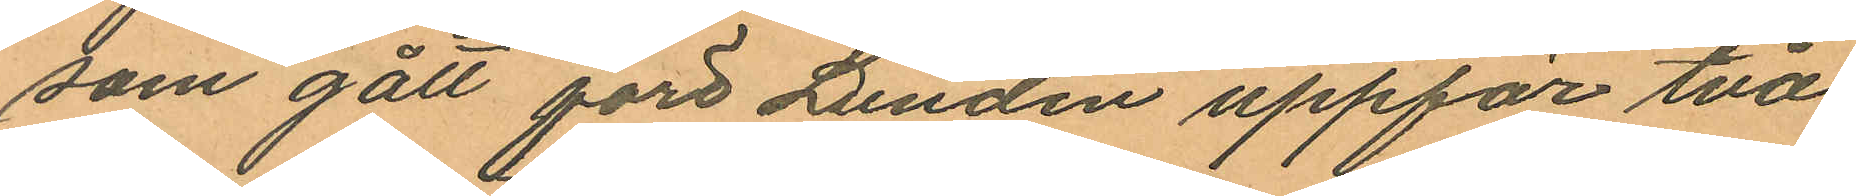som gått före Lundin uppför två
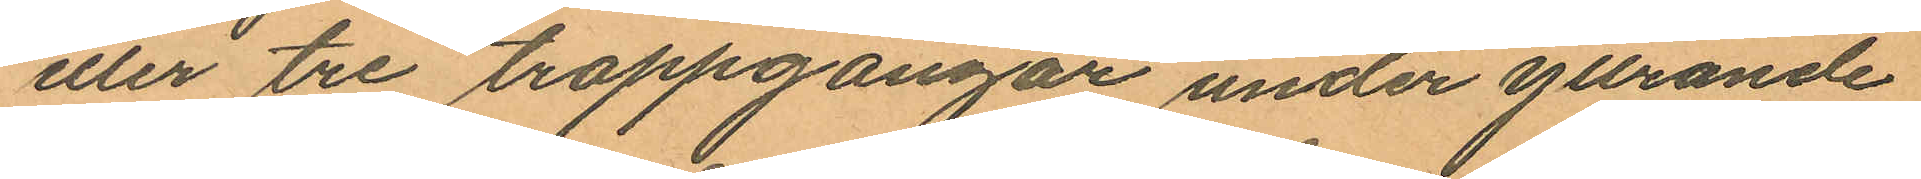eller tre trappgångar under yttrande
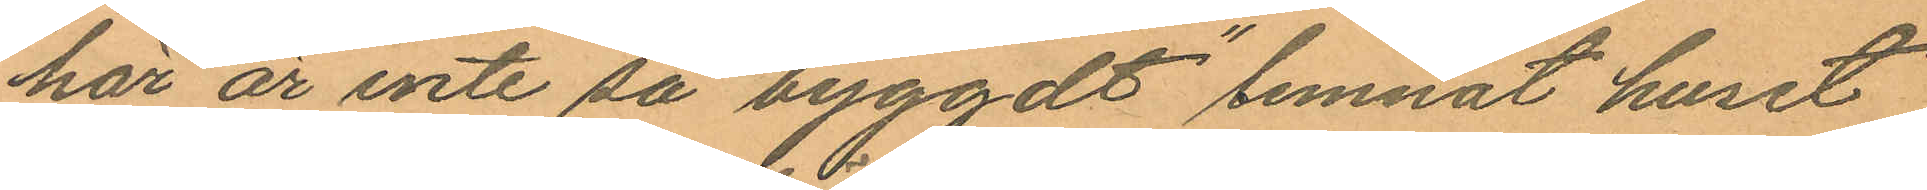"här är inte så byggdt" lemnat huset
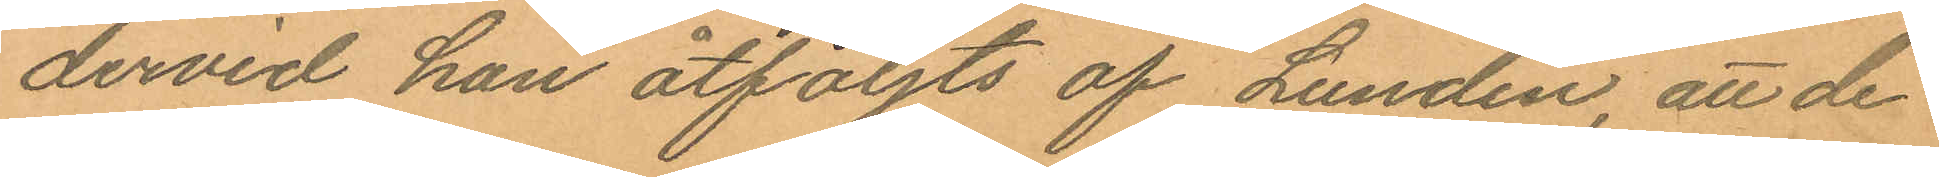dervid han åtföljts af Lundin, att de
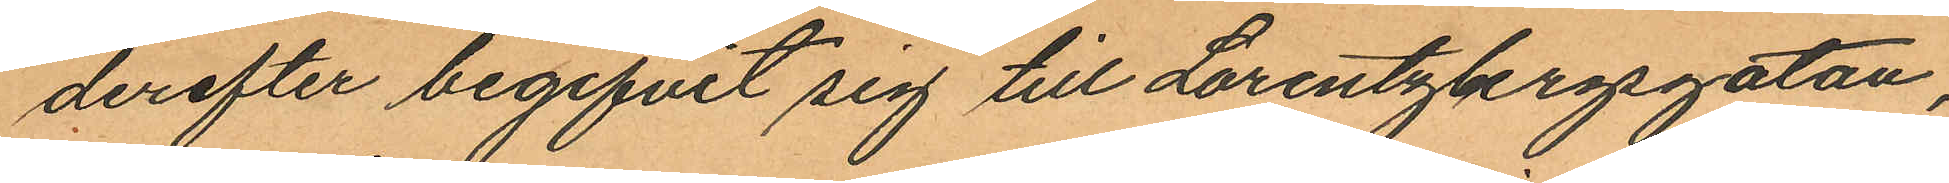derefter begifvit sig till Lorentzbergsgatan,
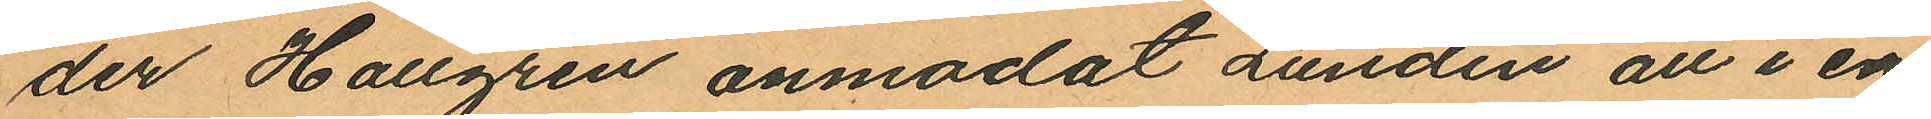der Hallgren anmodat Lundin att i en
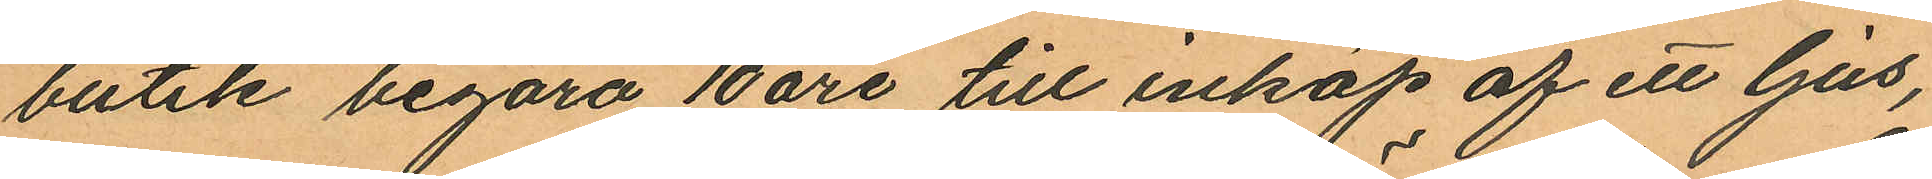butik begära 10 öre till inköp af ett ljus,
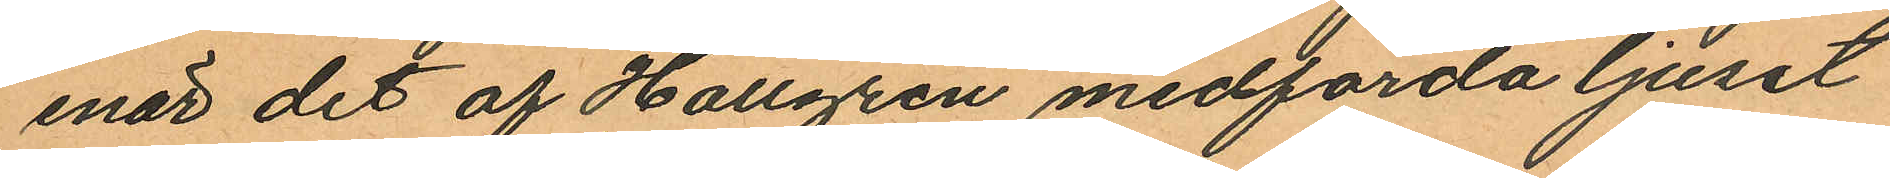enär det af Hallgren medförda ljuset
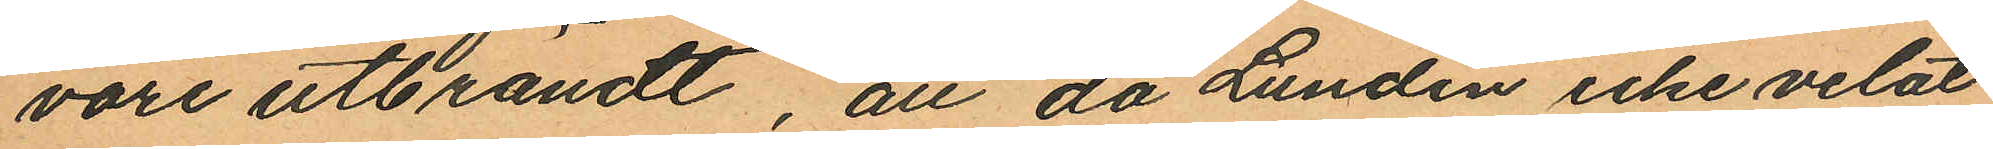vore utbrändt, att då Lundin icke velat
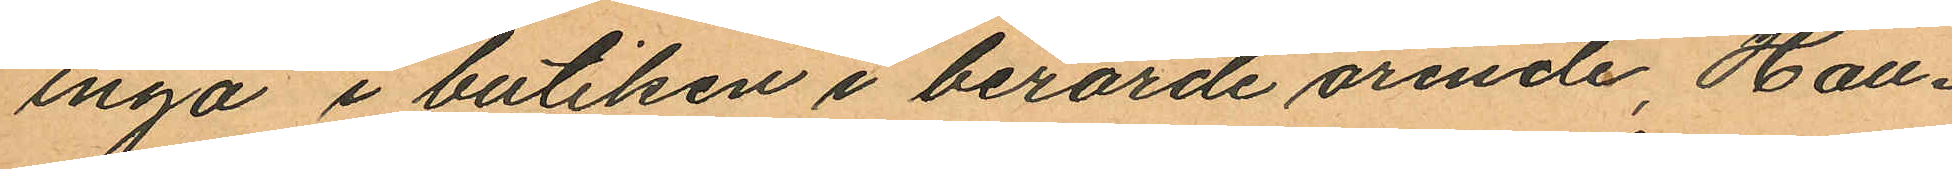ingå i butiken i berörde ärende, Hall¬
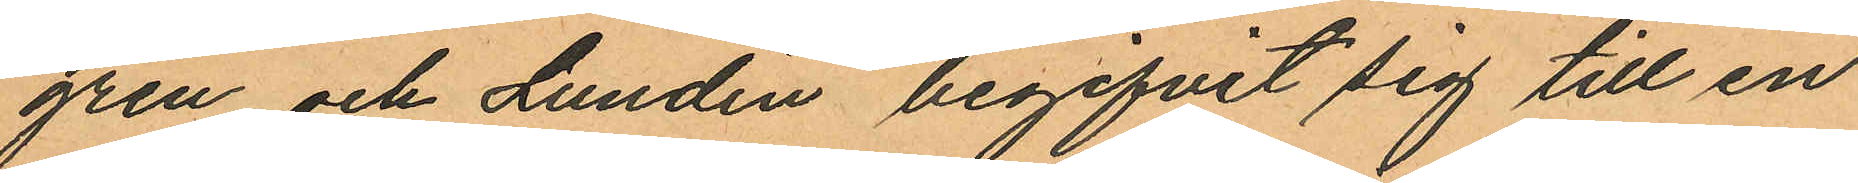gren och Lundin begifvit sig till en
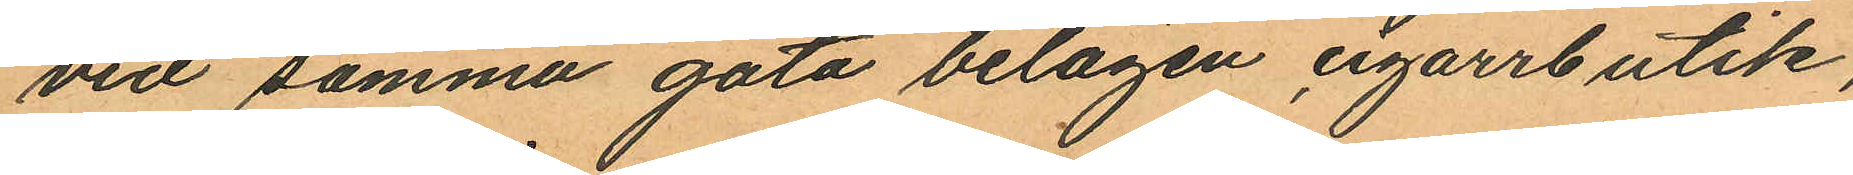vid samma gata belägen cigarrbutik,
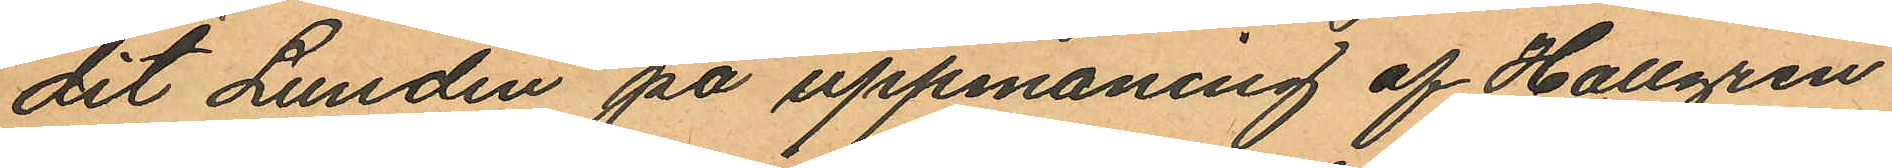dit Lundin på uppmaning af Hallgren
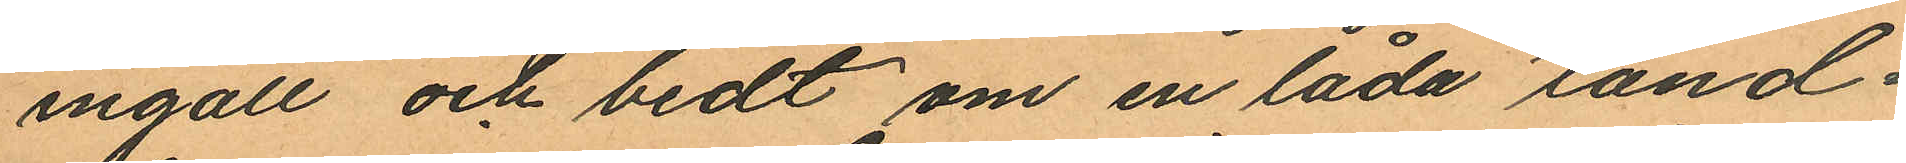ingått om bedt om en låda tänd¬
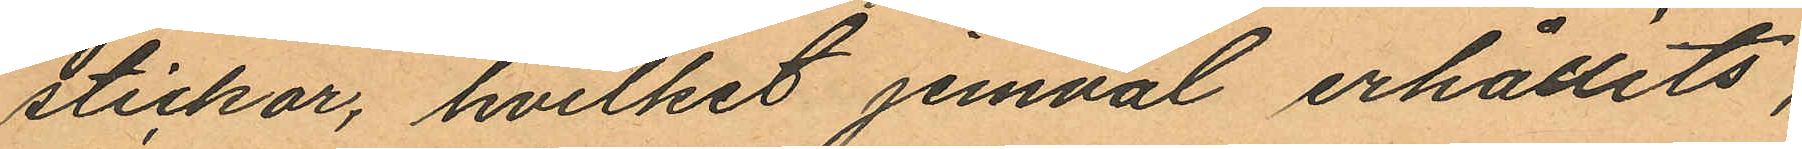stickor, hvilket jemväl erhållits,
